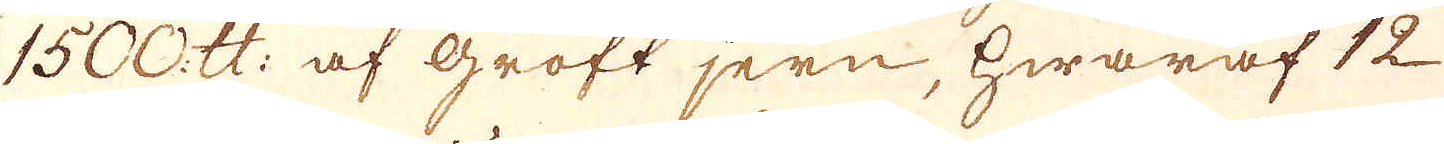1500. skålpund: af groft jern, hwaraf 12
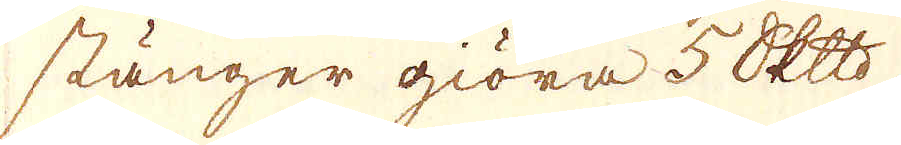stänger giöra 5 Skeppund
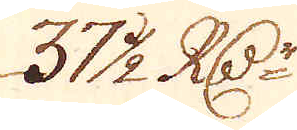37 1/2 R:Dr
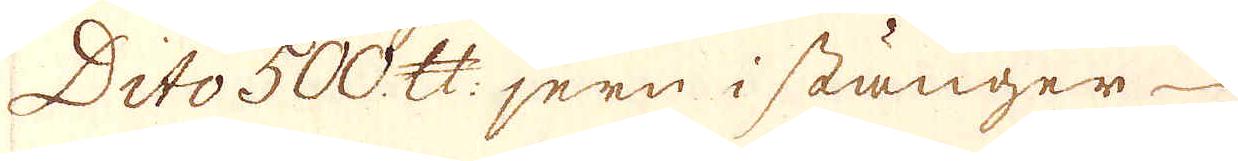Dito 500 skålpund jern i stänger
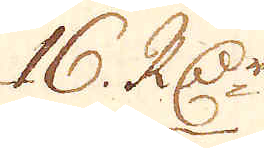16 R:Dr
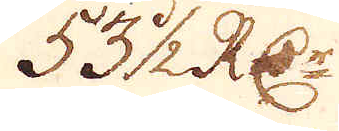53 1/2 R:Dr
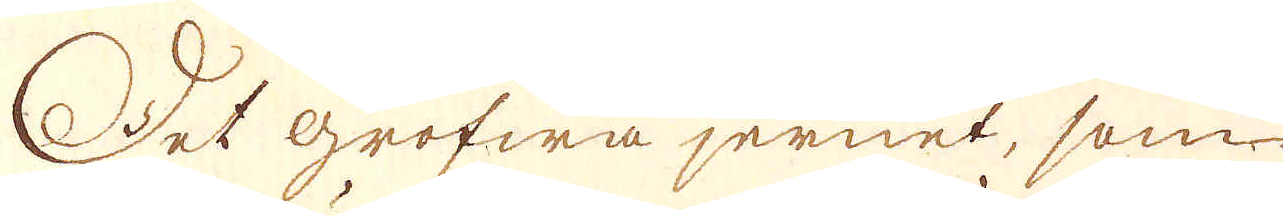Det grofwa jernet, som
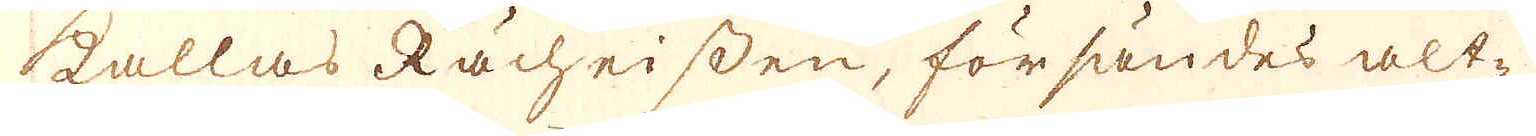kallas Råcheissen, försändes alt-
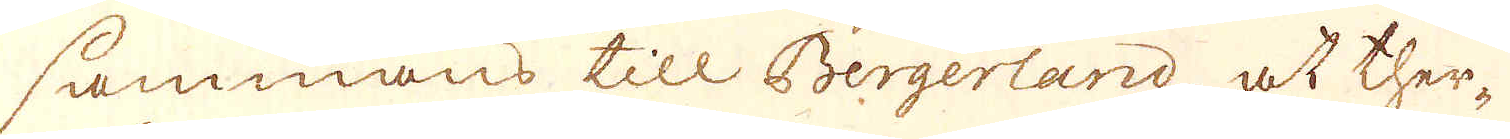sammans till Bergerland at ther-
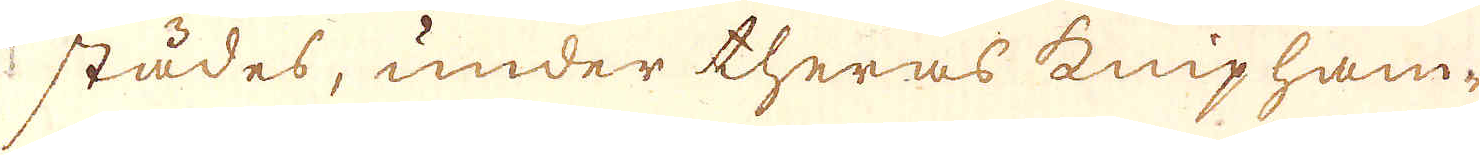städes, under theras knip ham-
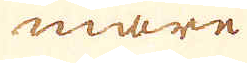mare
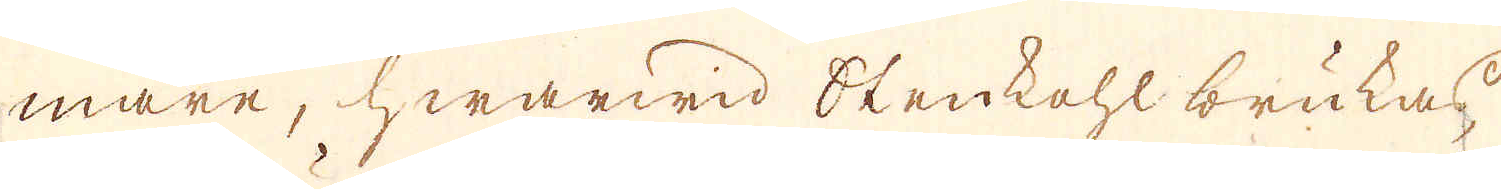mare, hwarwid Stenkohl brukas
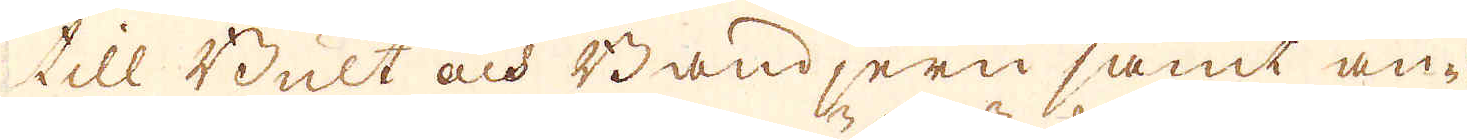till Bult och Bandjern samt an-
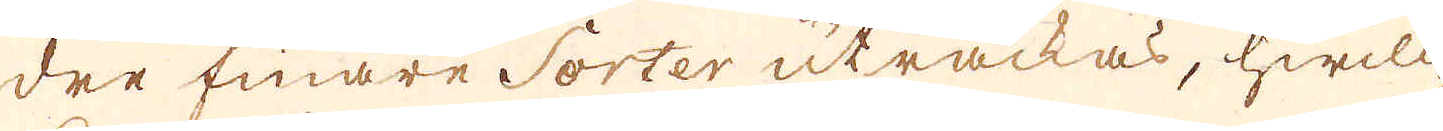dre finare Sorter uträckas, hwilc-
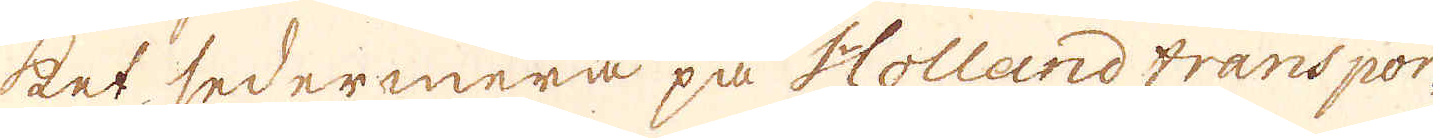ket sedermera på Holland transpor-
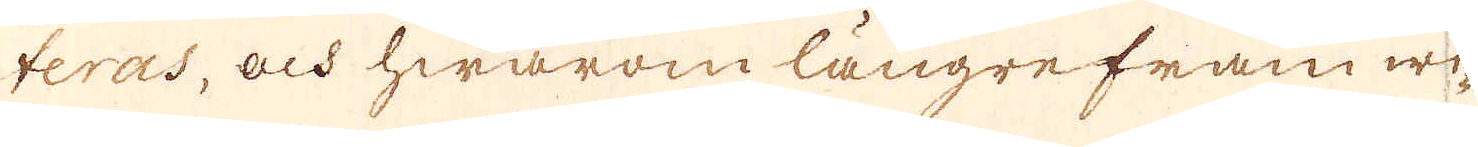teras, och hwarom längre fram wi-
